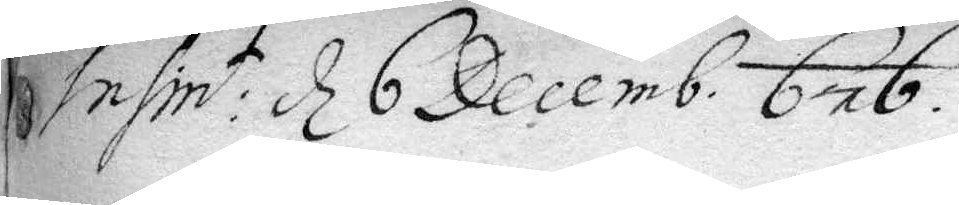Insint: d 6 Decemb. 676
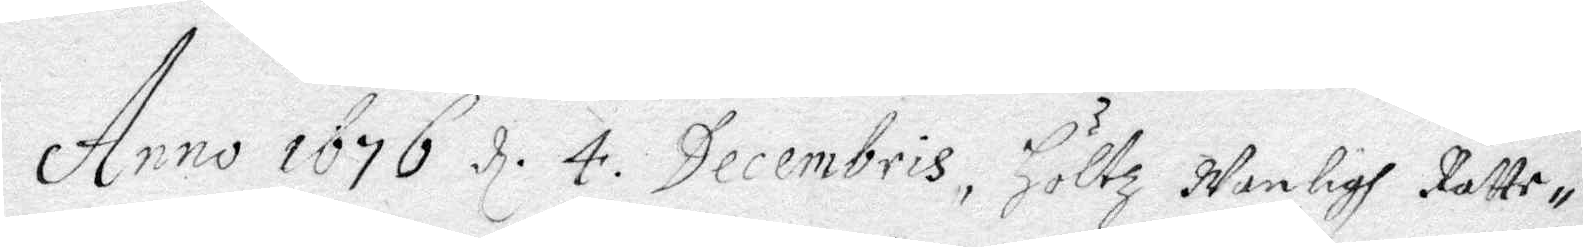Anno 1676 d. 4. Decembris, Höltz Wanligh Rätte¬
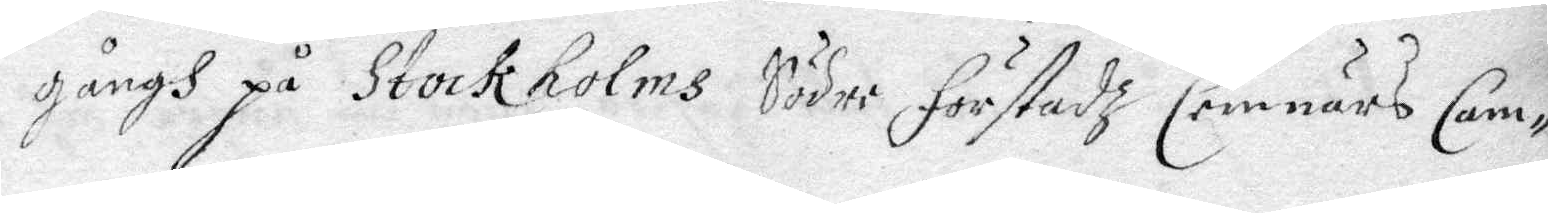gångh på Stockholms Södre Förstadz Cemnärs Cam¬
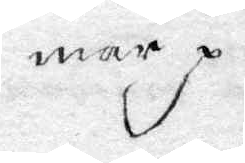mar.
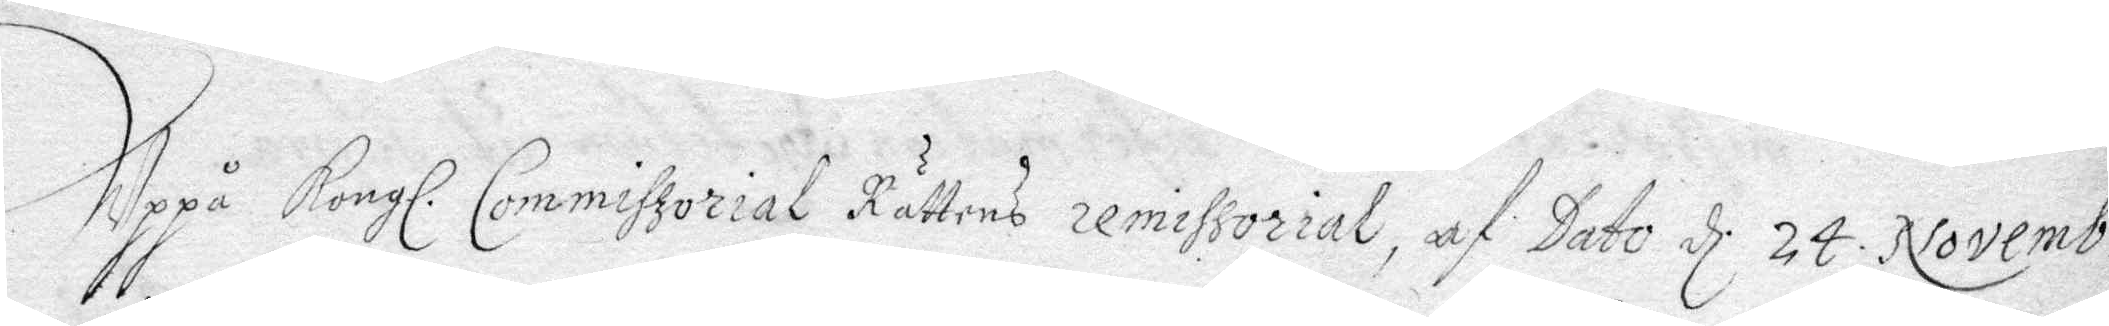Uppå Kongl. Commiszorial Rättens remissorial, af Dato d. 24 Novemb:s
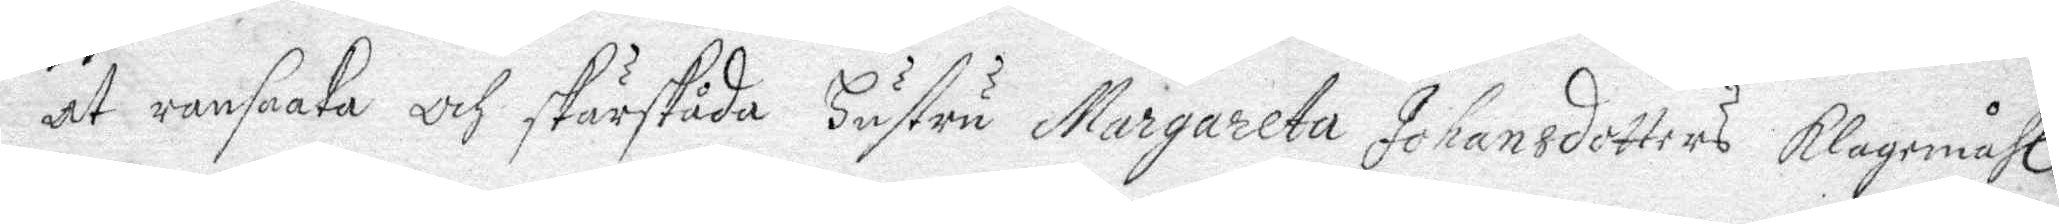at ransaaka och skärskåda hustru margareta Johansdotters klagomåhl
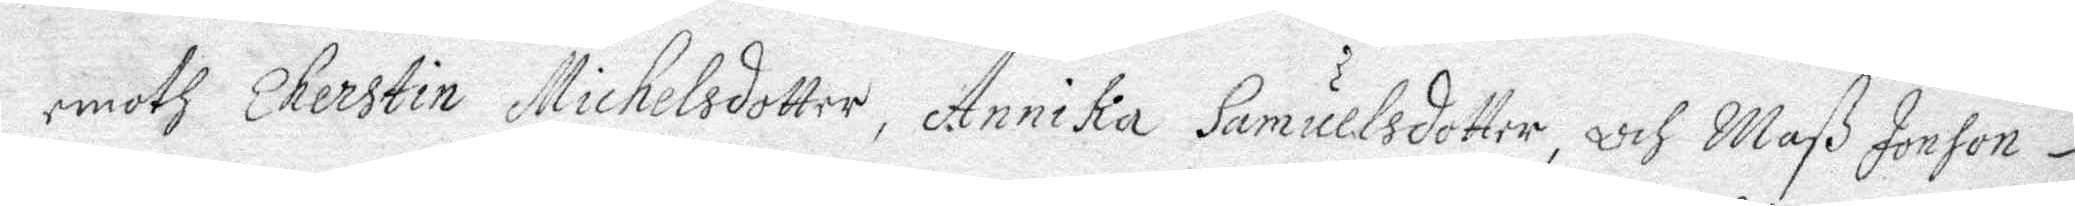emoth Cherstin Michelsdotter, Annika Samuelsdotter, och Maß Jonson
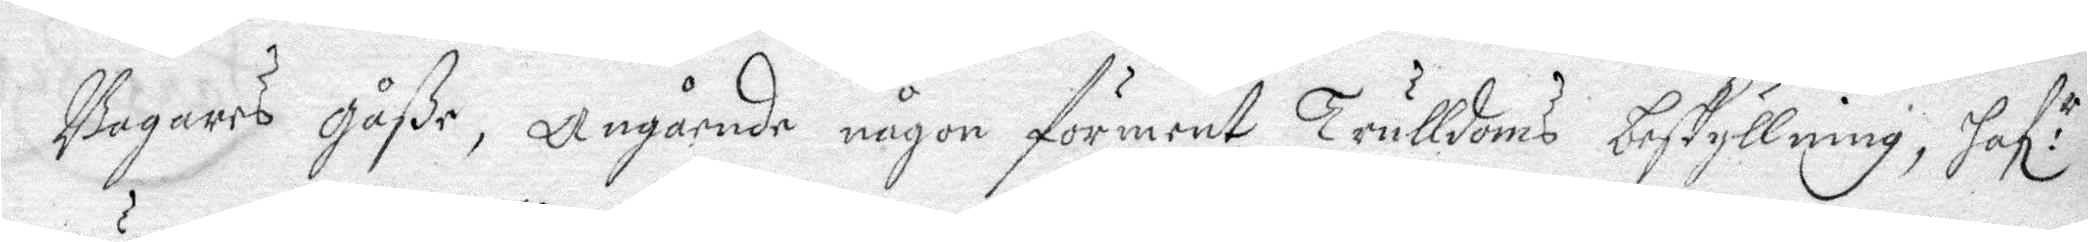Barages gåße, angående någon förment Trulldoms beskyllning, haf:r
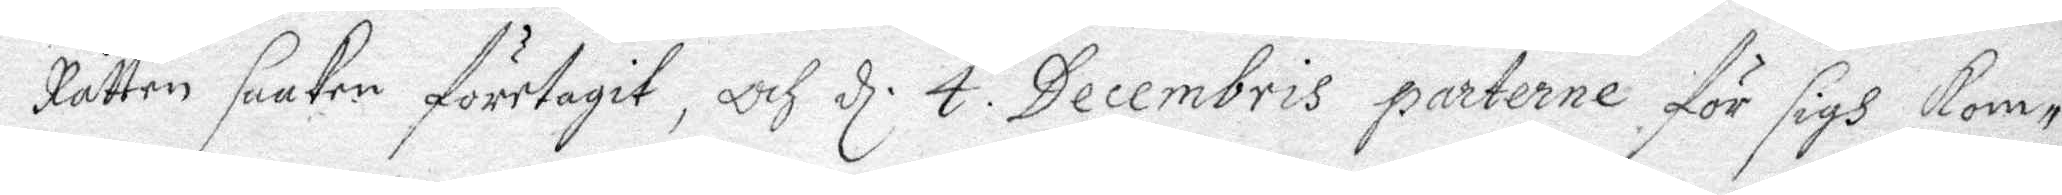Rätten saaken företagit, och d. 4. Decembris parterne för sigh kom¬
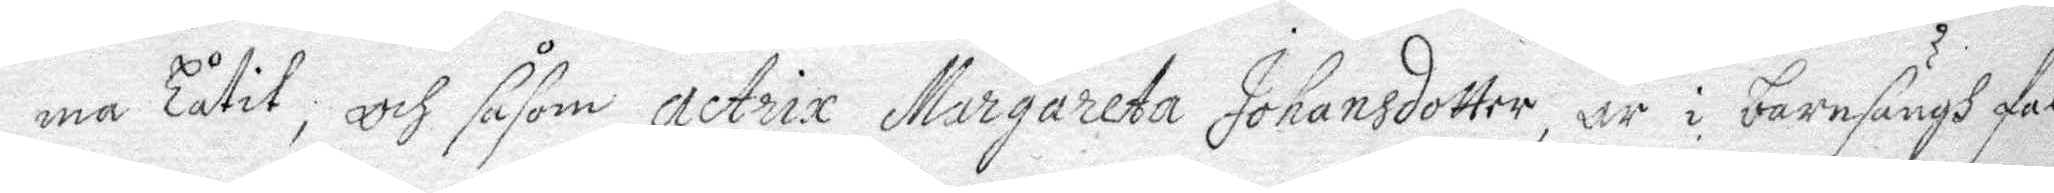ma Låtit, och såsom actrix Margareta Johansdotter, är i barnsängh fal¬
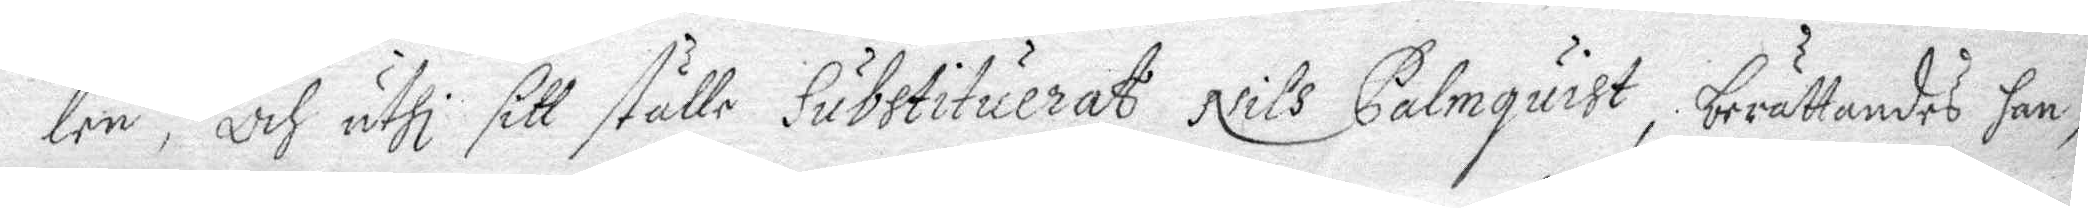len, och uthi sitt ställe Substituerat Nils Palmquist, berättandes han,
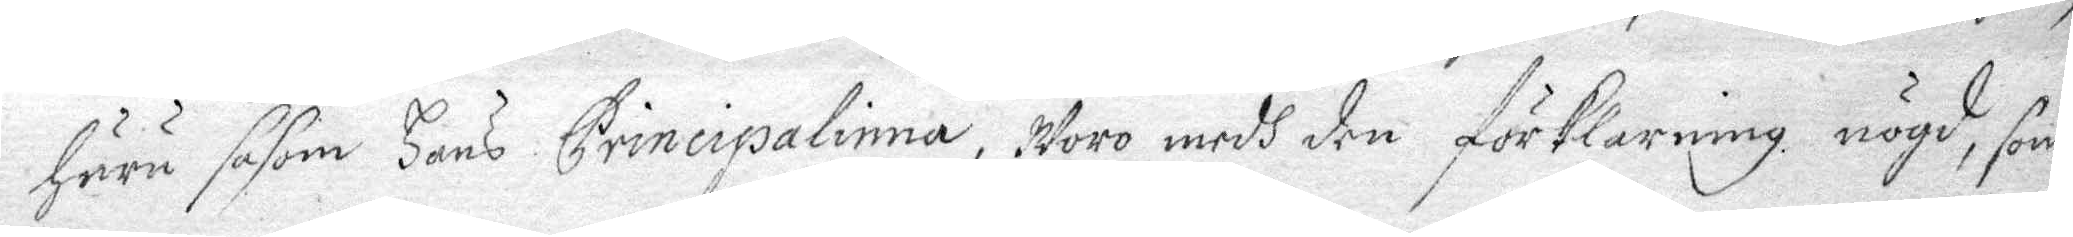huru såsom hans Principalinna, Woro medh den förklaring nögd, som
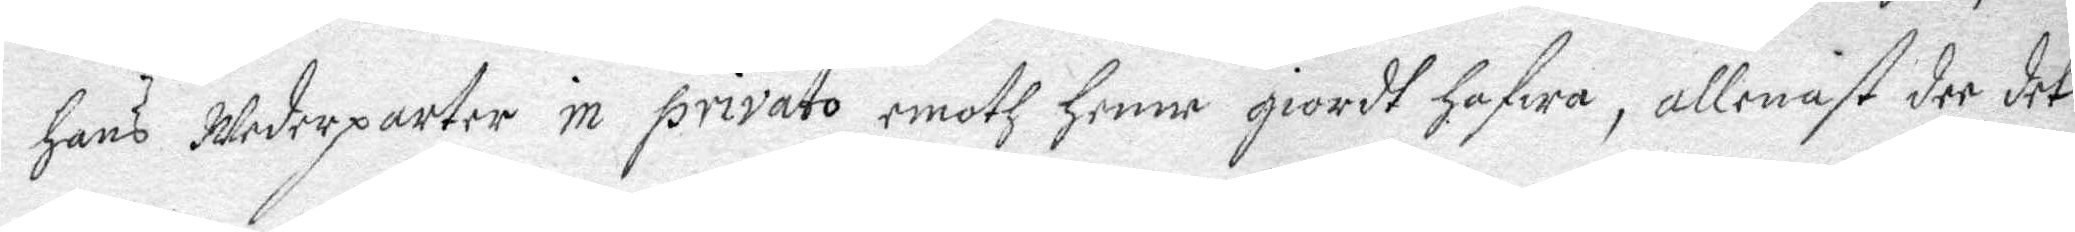hans Wederparter in privato emoth henne giordt hafwa, allenast der det
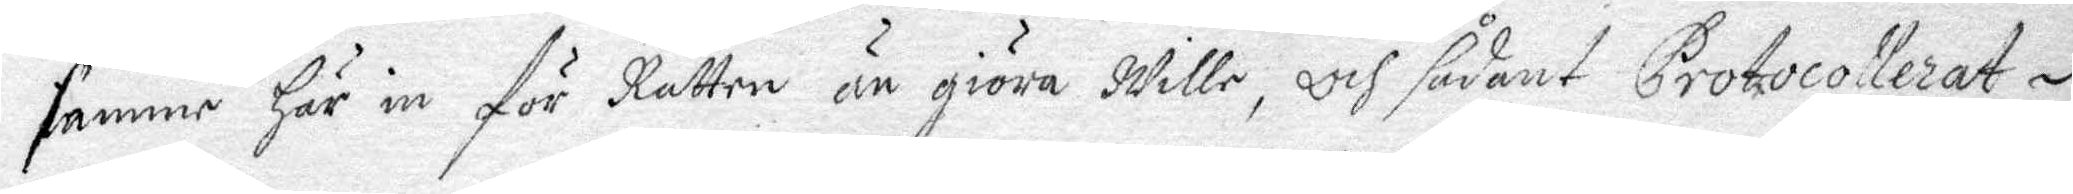samme här in för Rätten än giöra Wille, och sådant Protocollerat
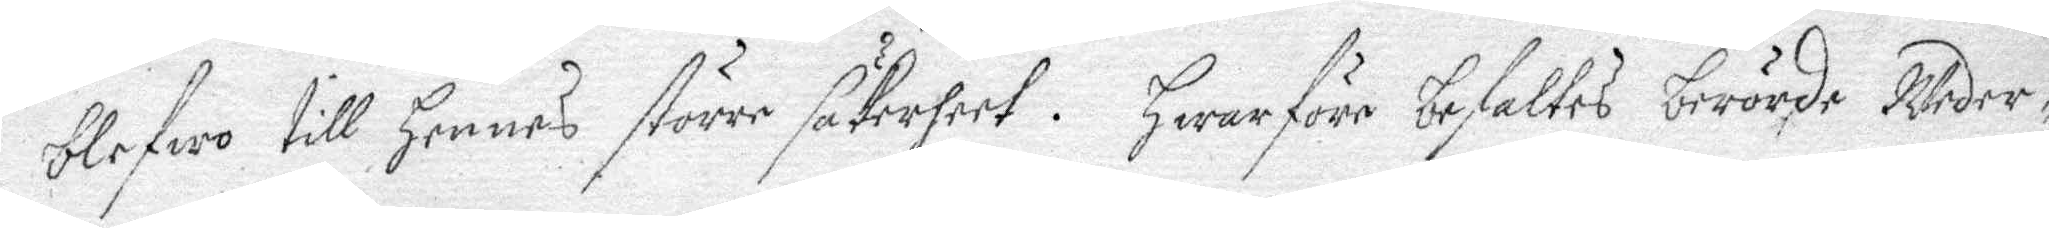blefwo till hennes större säkerheet. Hwarföre befaltes berörde Weder¬
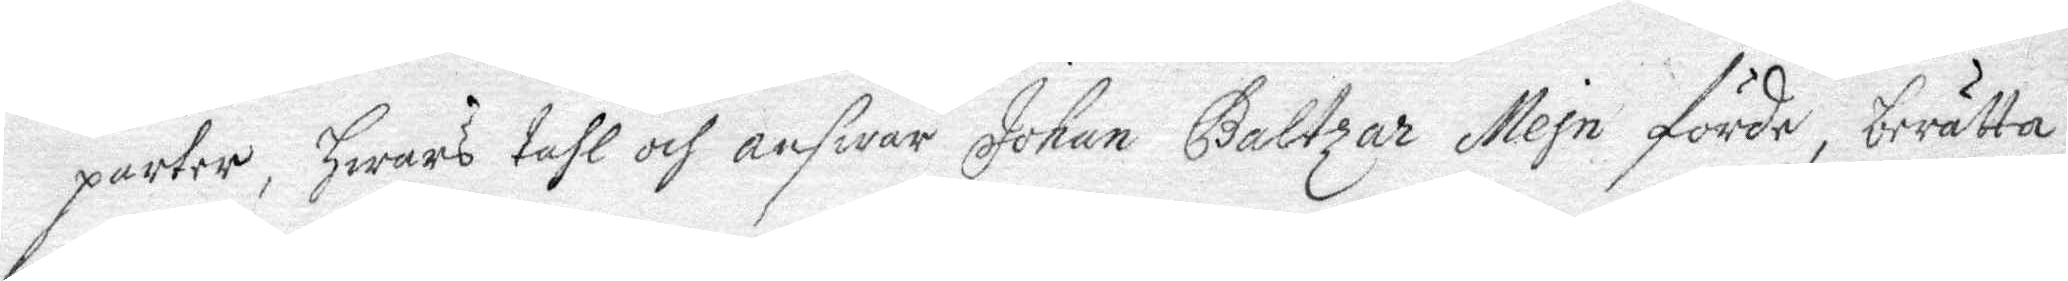parter, hwars tahl och answar Johan Baltzar Mejn förde, berätta
